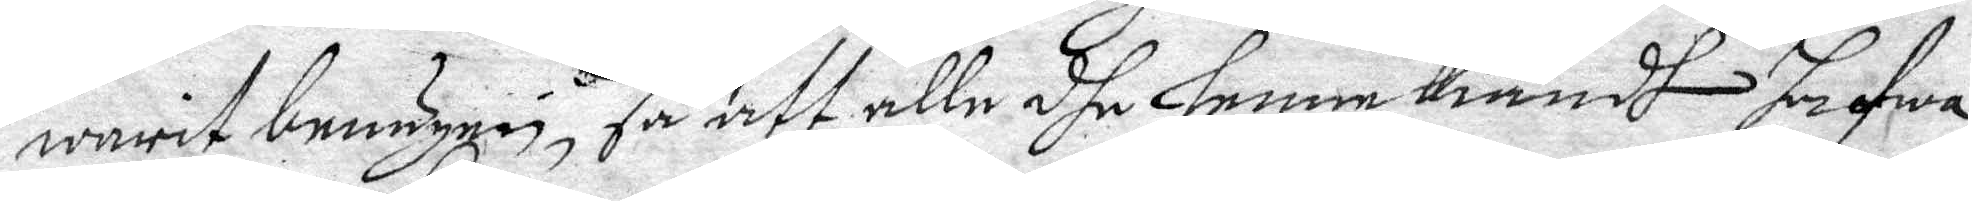warit benägen, så att alle dhe henne Kiändh hafwa
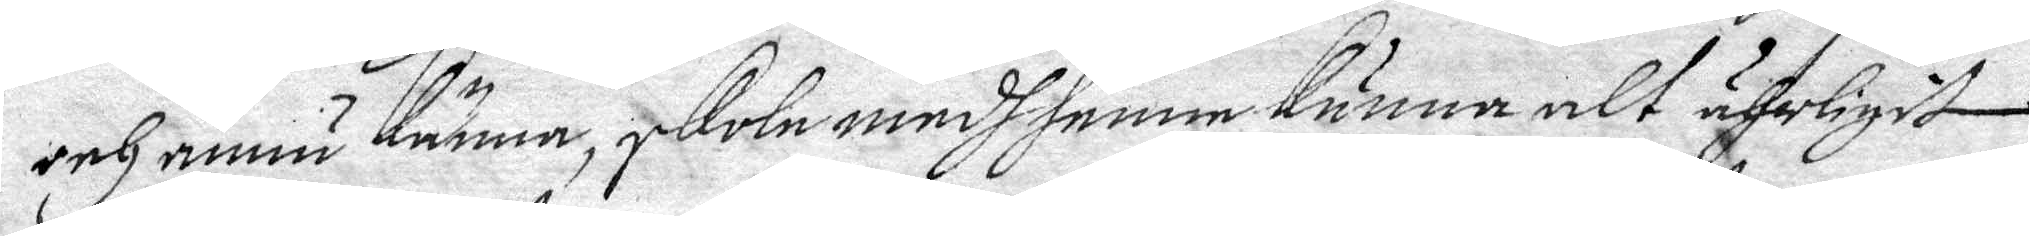och ännu känna, skola medh henne kunna alt ährligit 
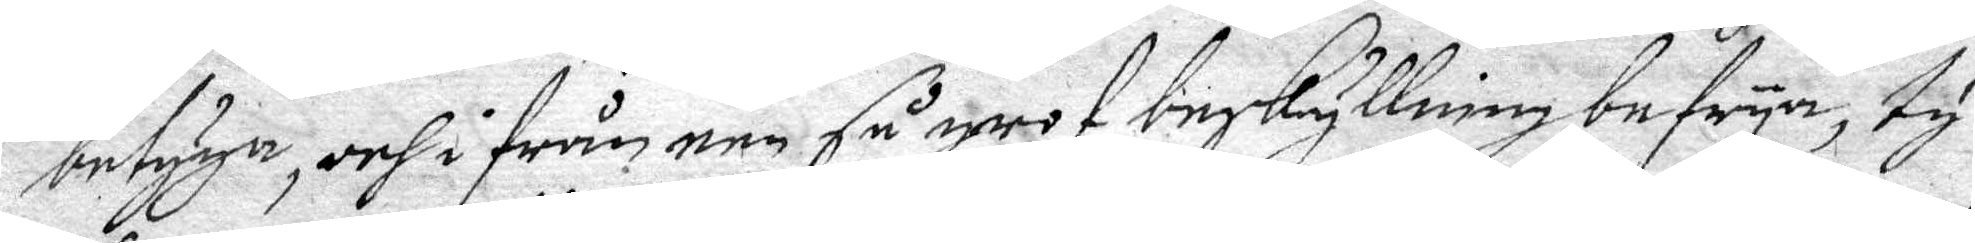betyga, och i från een så grof beskyllinng befrya, ty
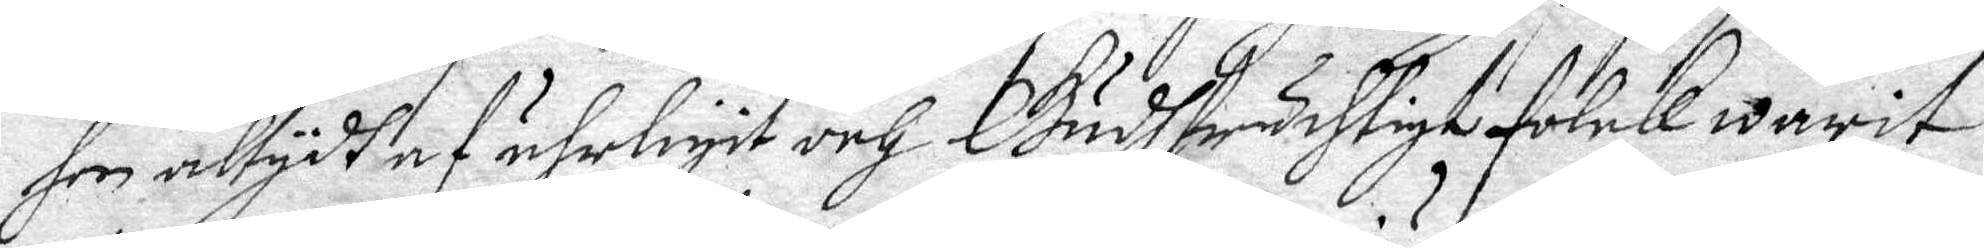hon altydh af ährligit och Gudsfruchtigt folck warit
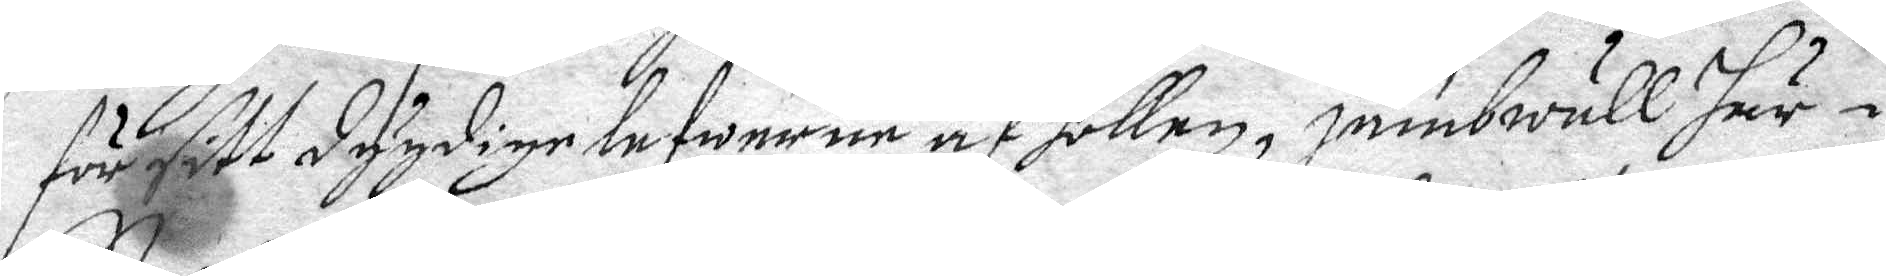för sitt dygdige lefwerne af hollen, jämbwäll här i
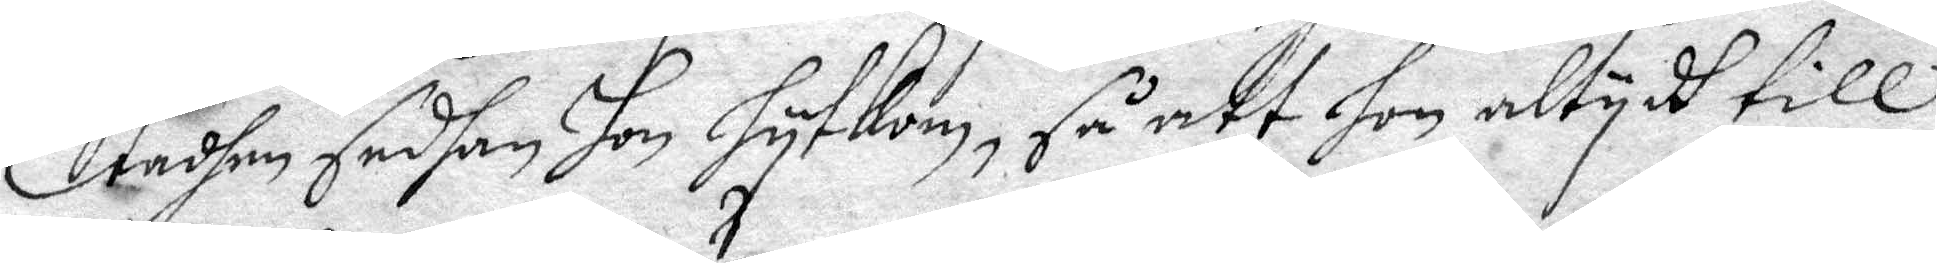Stadhen sedhan Hon hytkom, så att hon altydh till
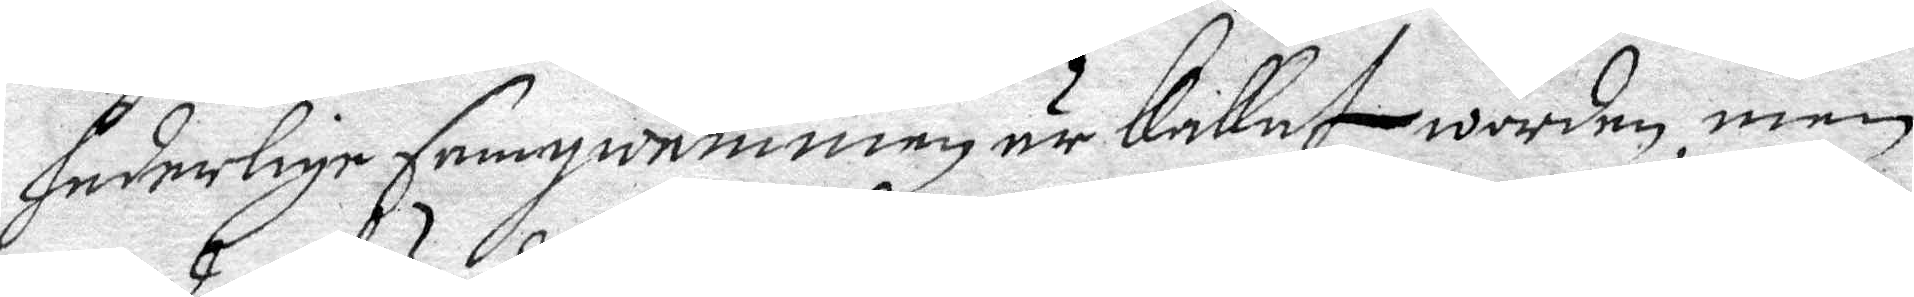sederlige samqwämmen är kallat worden, men
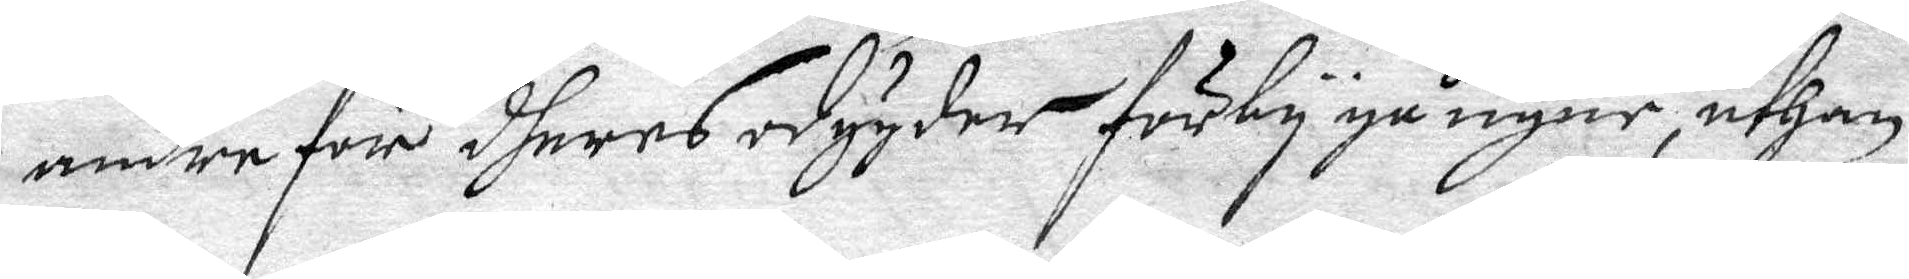andre för dheres odygder förbygångne, uthan
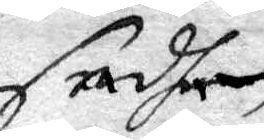sadhen
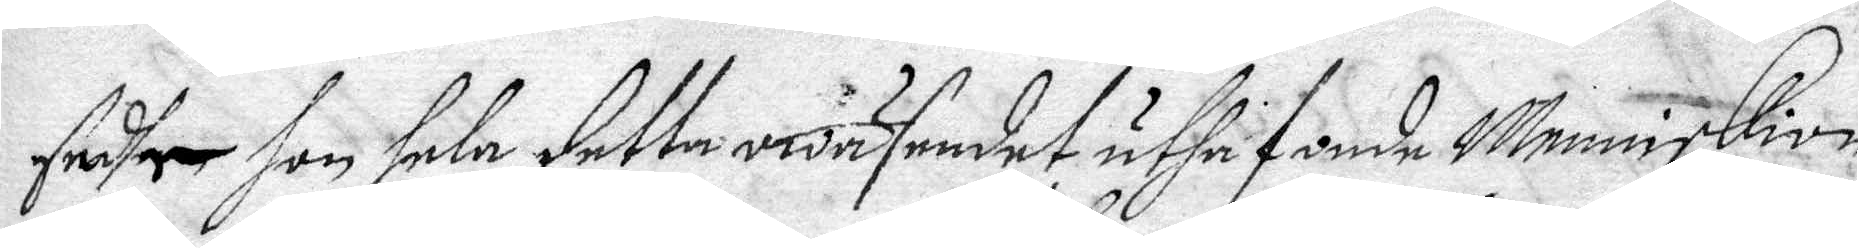sadhe hon hela detta wäsendet uthuaf onde Menniskior
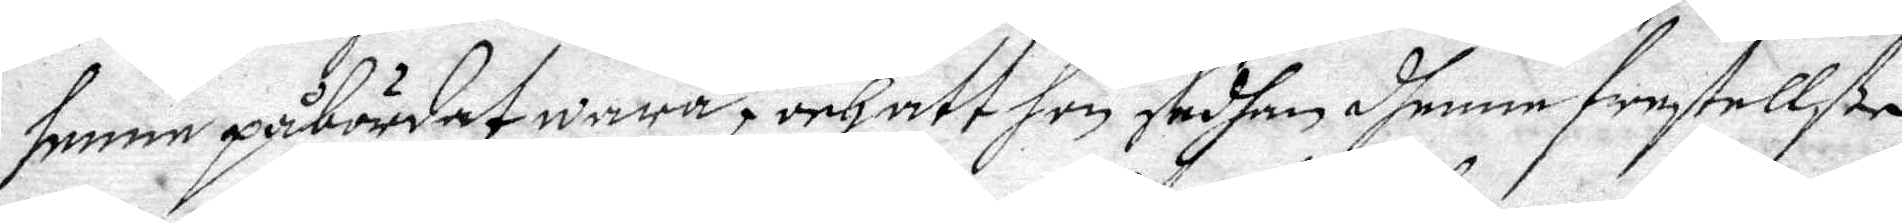henne påbördat wara, och att hon sedhan dhenne frestellße
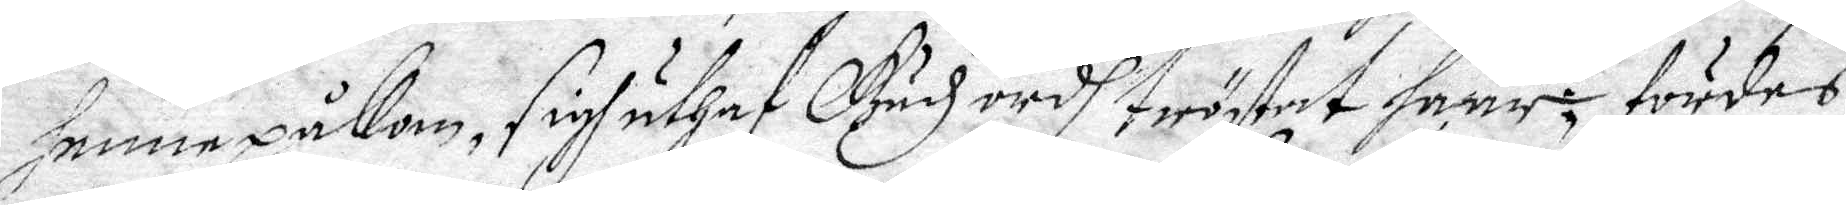henne påKom, sigh uthaf Gudz ordh tröstat haar; fördes
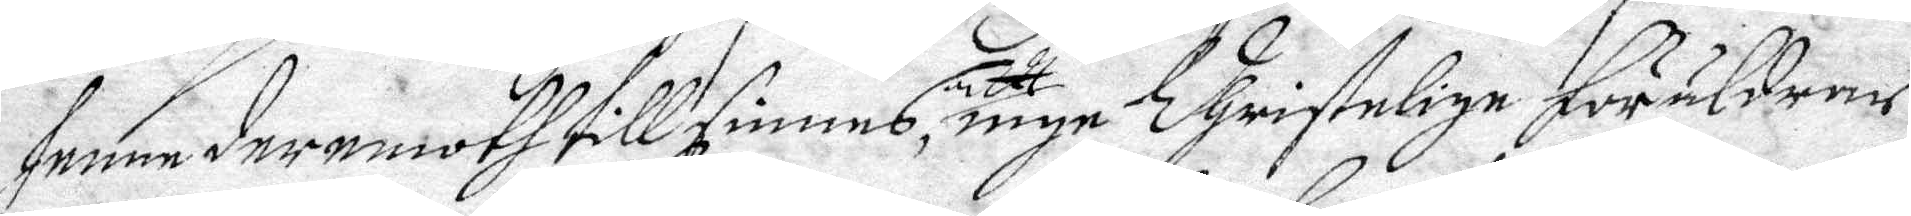henne deremoth till sinnes, att  inge Christelige föräldrar
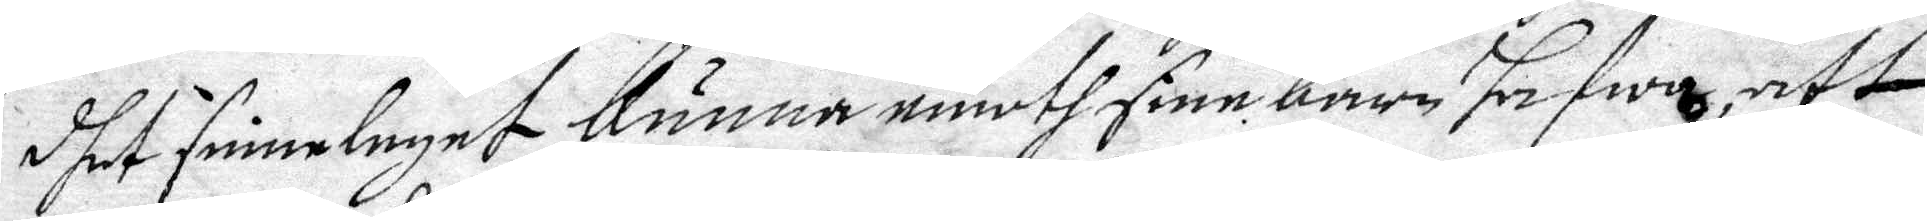dhet sinneleget kunna emoth sine barn hafwa, att
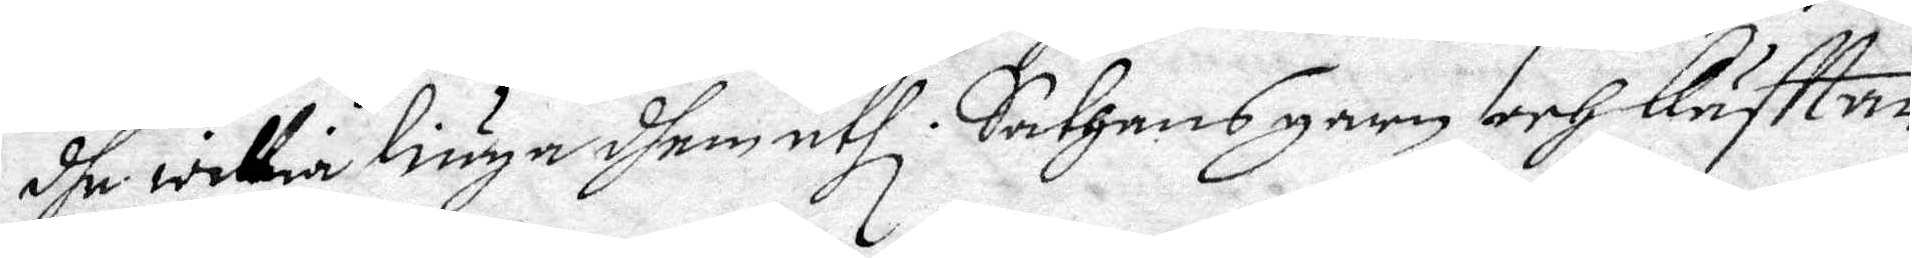dhe willia liuga dhem utli Sathans garn och käfttar
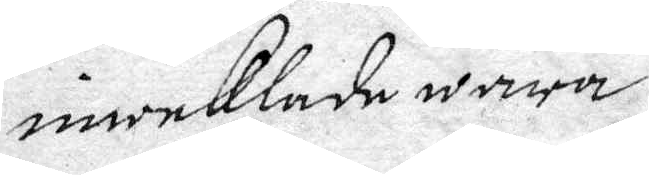inweklade wara.
